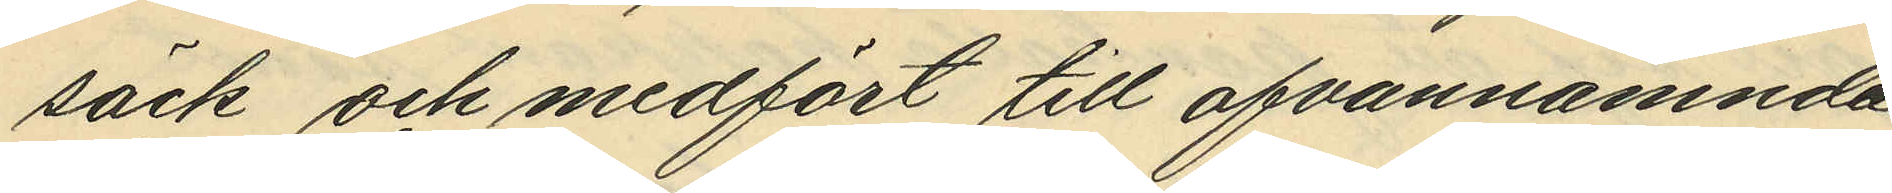säck och medfört till ofvannämnda
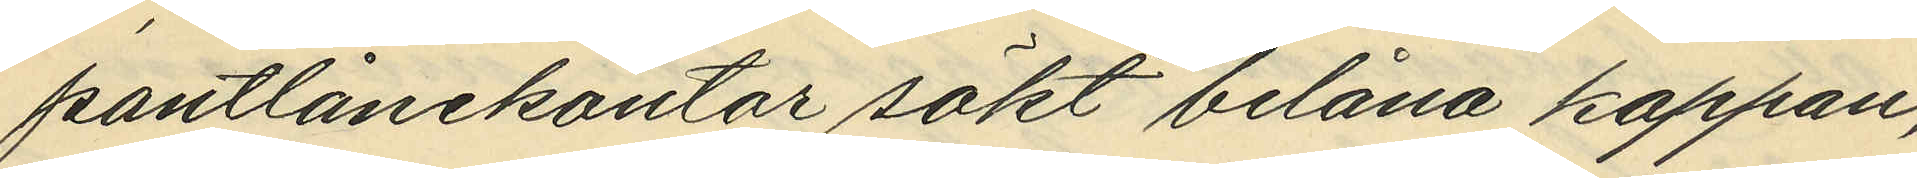pantlånekontor sökt belåna kappan,
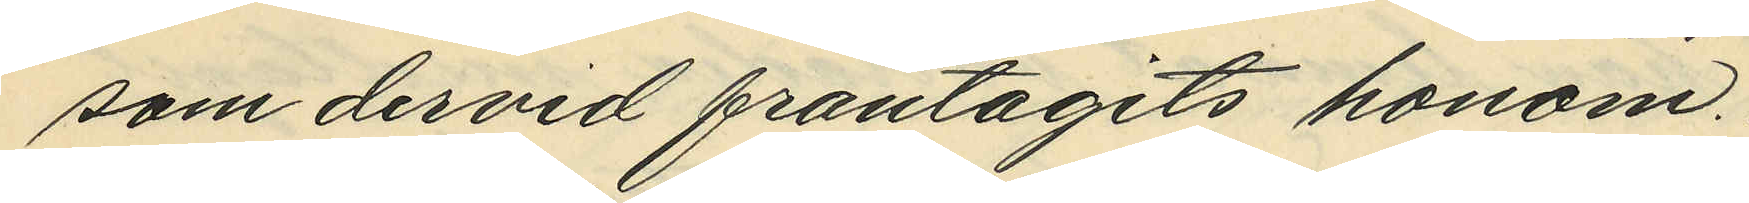som dervid fråntagits honom.
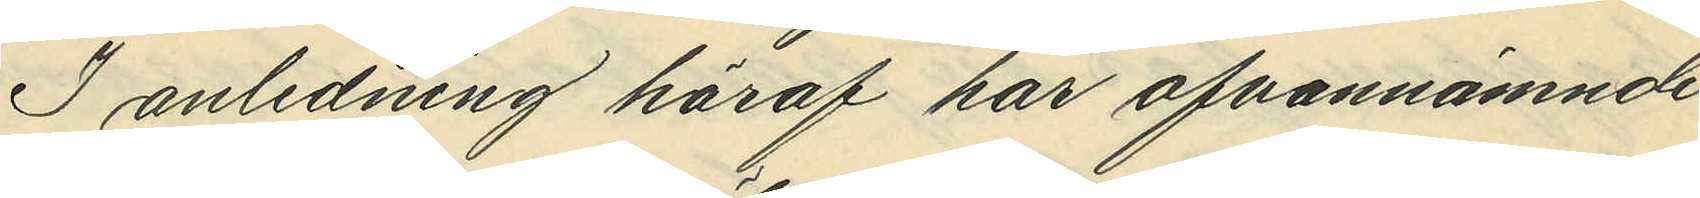I anledning häraf har ofvannämnde
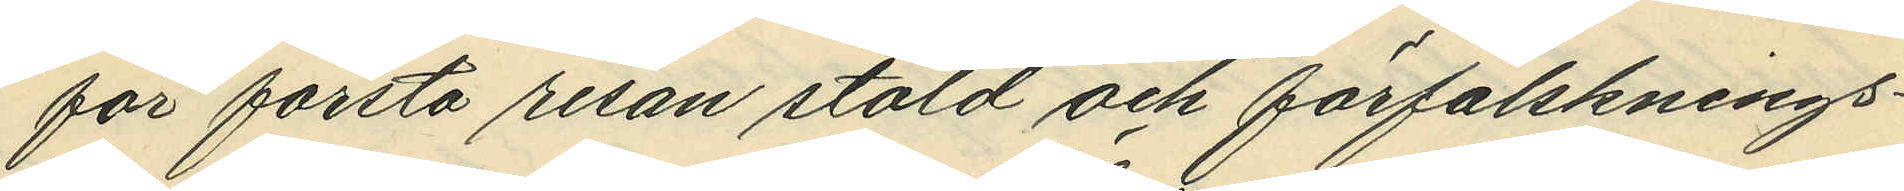för första resan stöld och förfalsknings¬
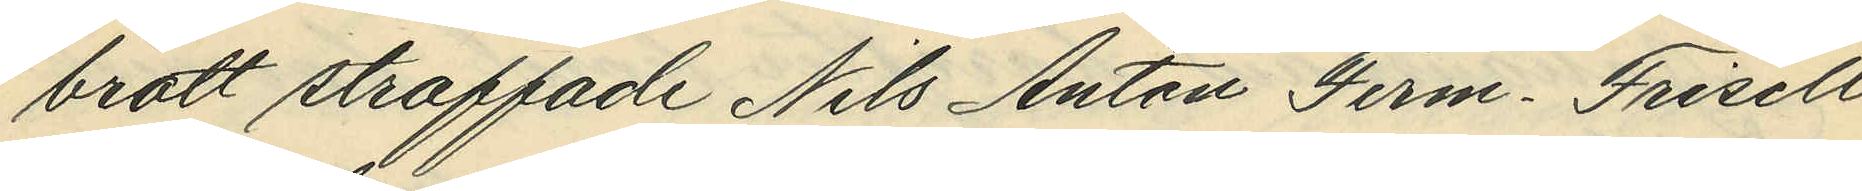brott straffade Nils Anton Ferm-Frisell
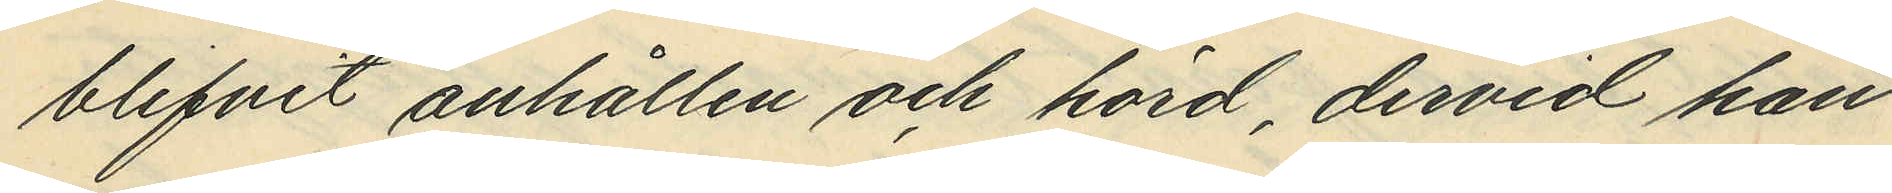blifvit anhållen och hörd, dervid han
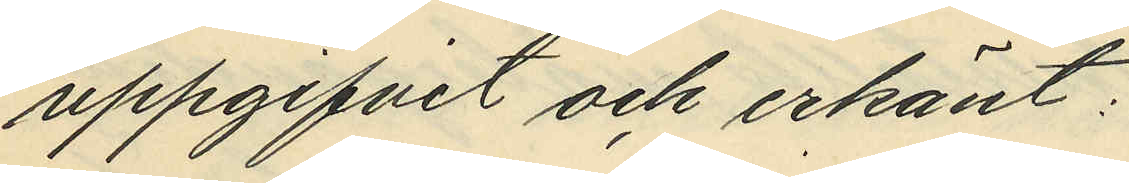uppgifvit och erkänt:
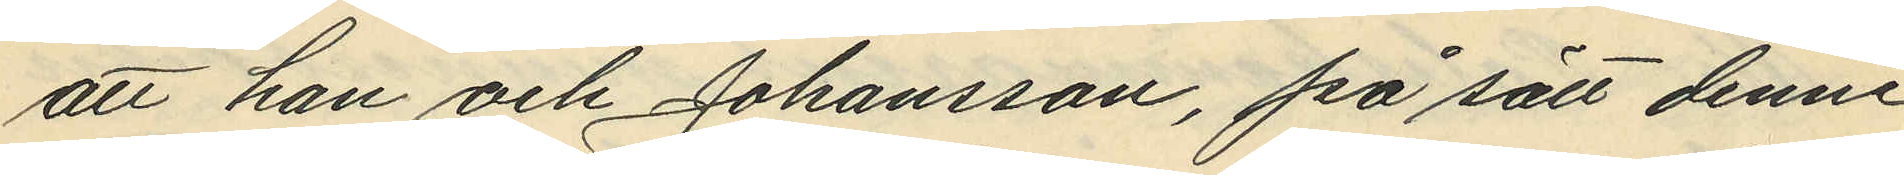att han och Johansson, på sätt denne
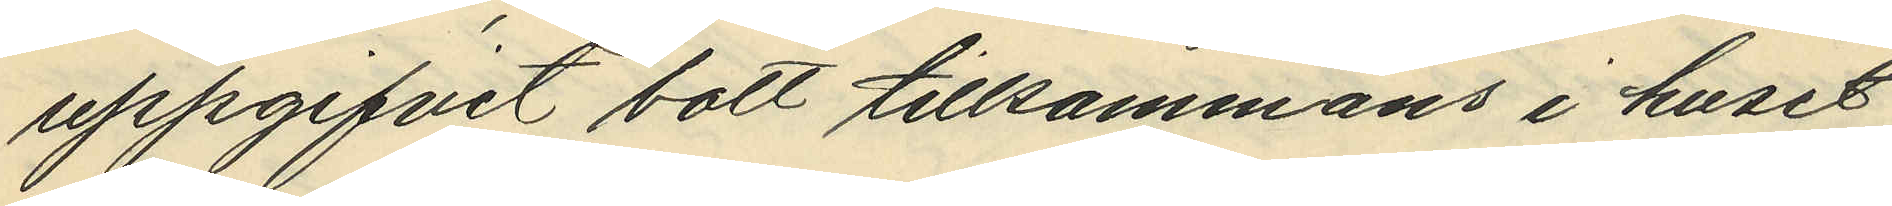uppgifvit bott tillsammans i huset
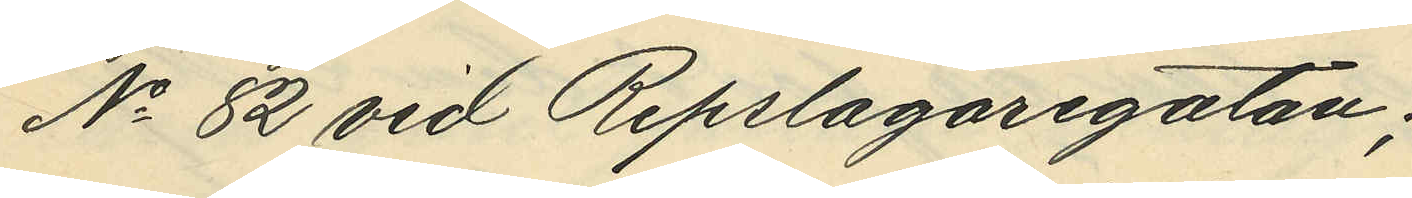No 82 vid Repslagaregatan;
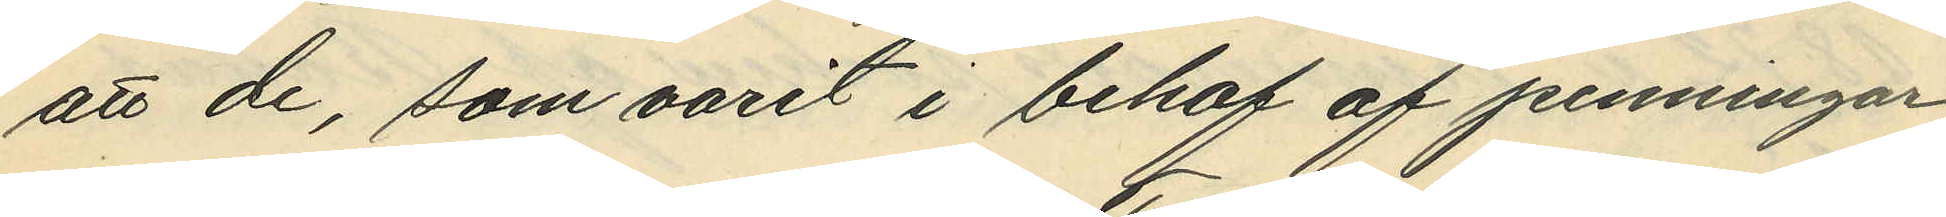att de, som varit i behof af penningar,
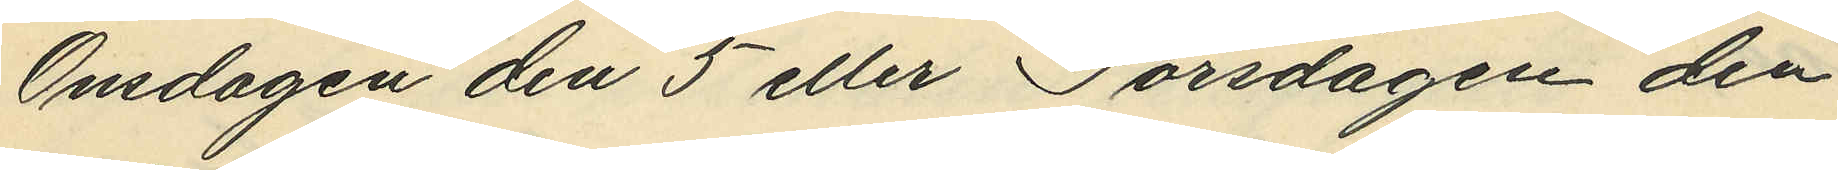Onsdagen den 5 eller Torsdagen den
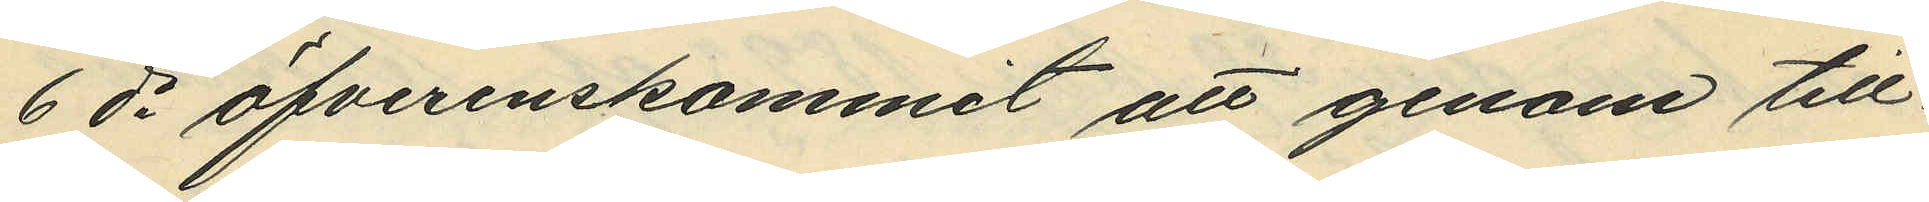6 ds öfverenskommit att genom till¬
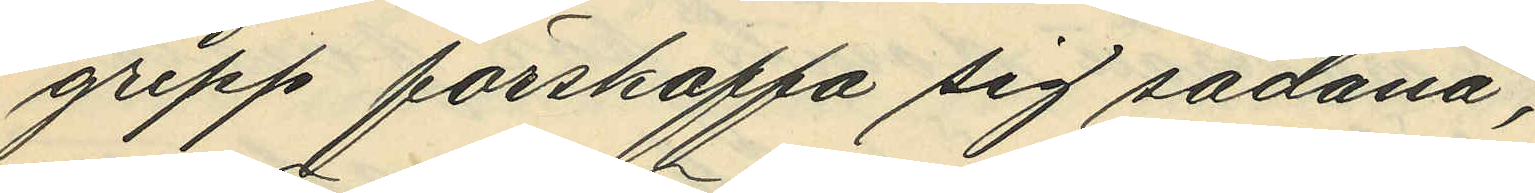grepp förskaffa sig sådana;
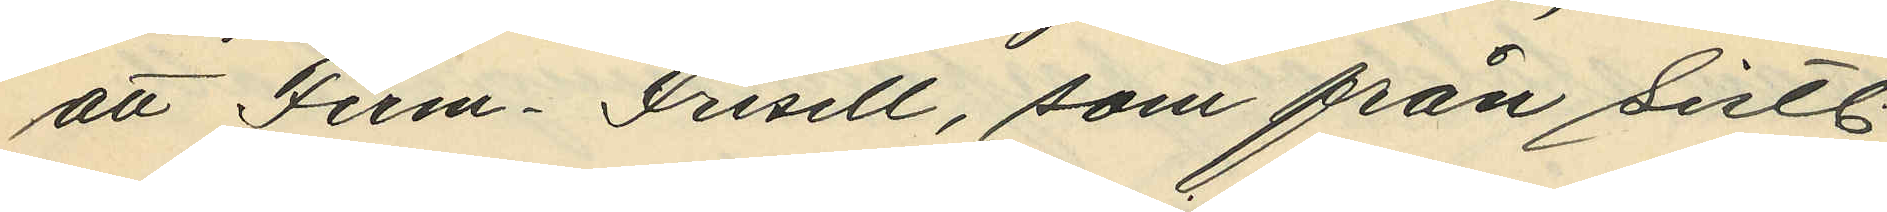att Ferm-Frisell, som för sistl.
